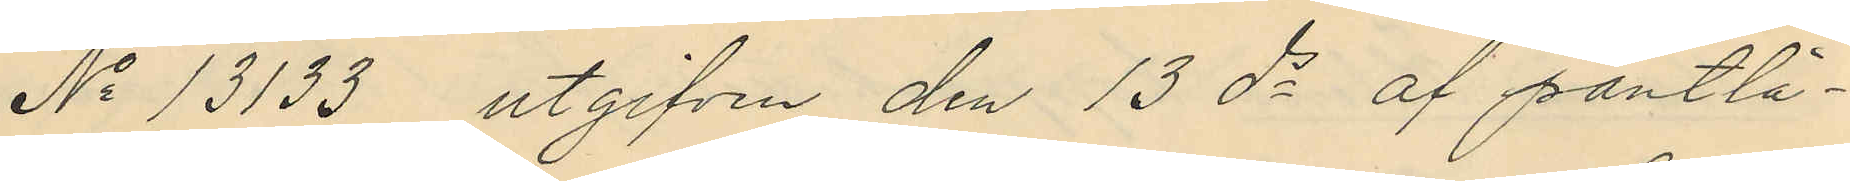No 13133 utgifven den 13 ds af pantlå¬
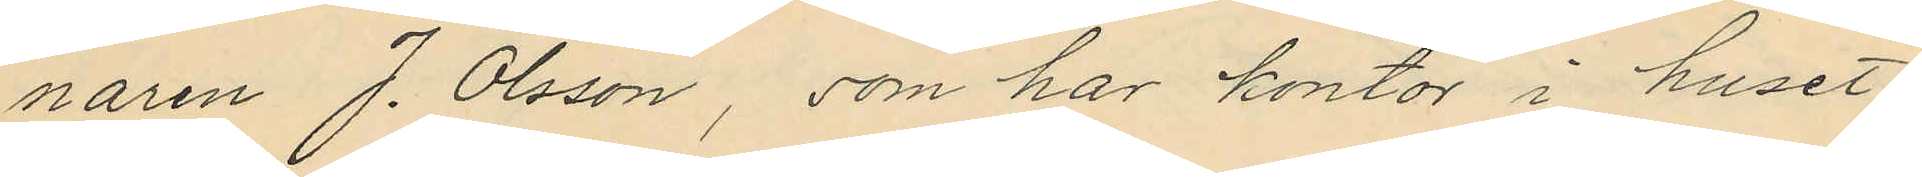naren J. Olsson, som har kontor i huset
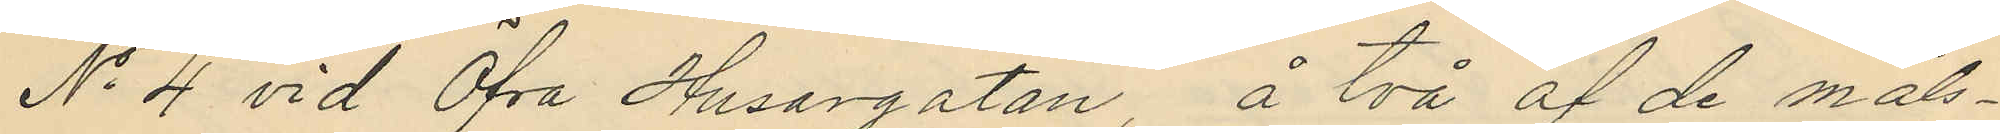No 4 vid Öfra Husargatan, å två af de måls¬
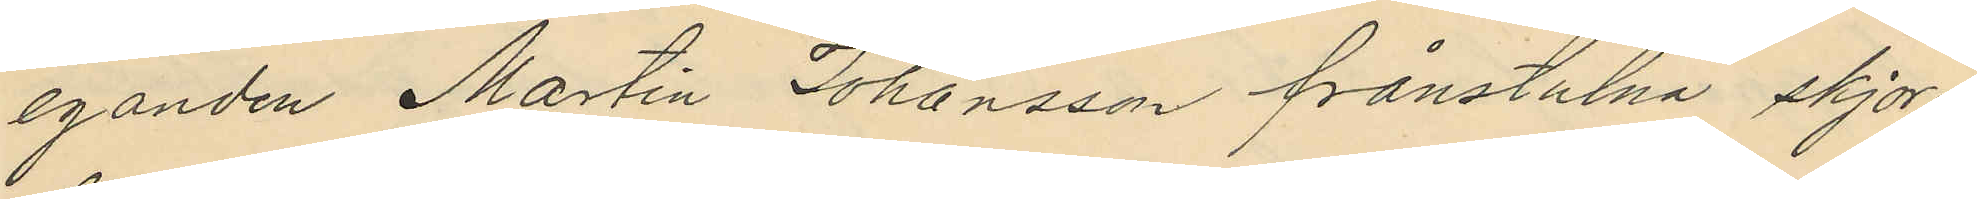eganden Martin Johansson frånstulna skjor¬
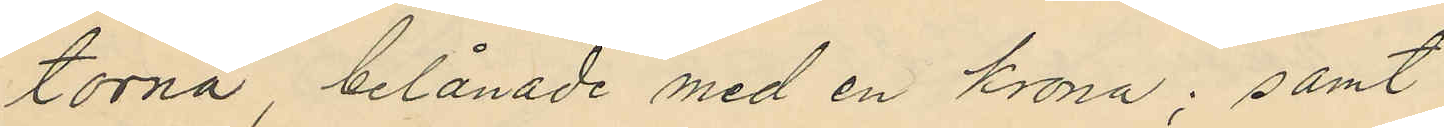torna belånade med en krona; samt
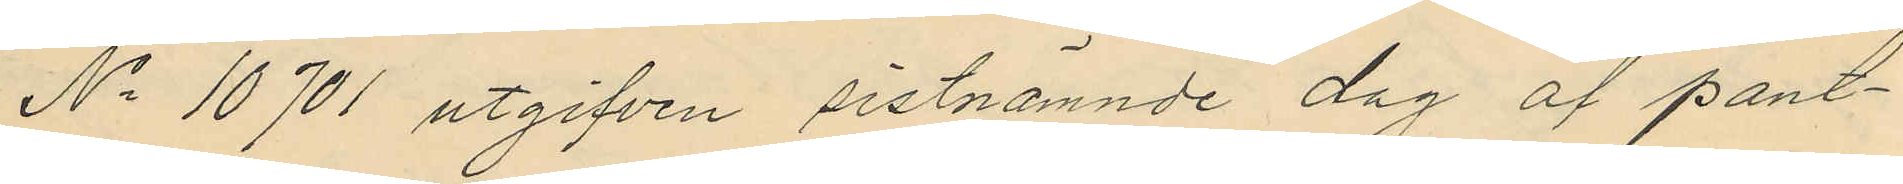No 10701 utgifven sistnämnde dag af pant¬
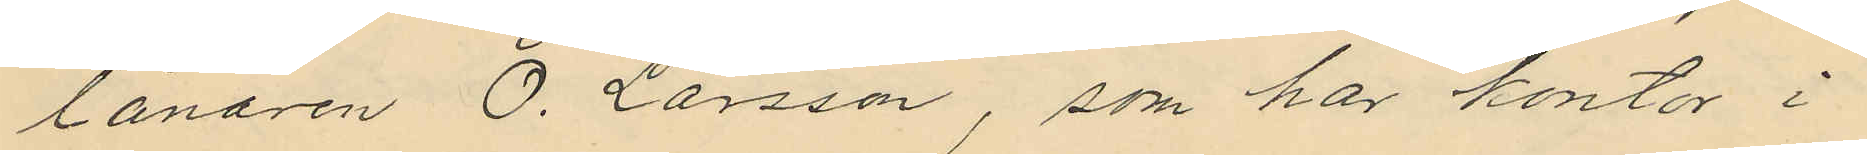lånaren O. Larsson, som har kontor i
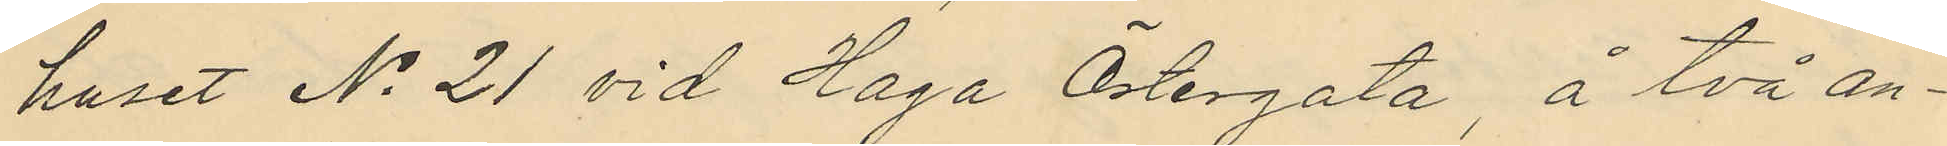huset No 21 vid Haga Östergata, å två an¬
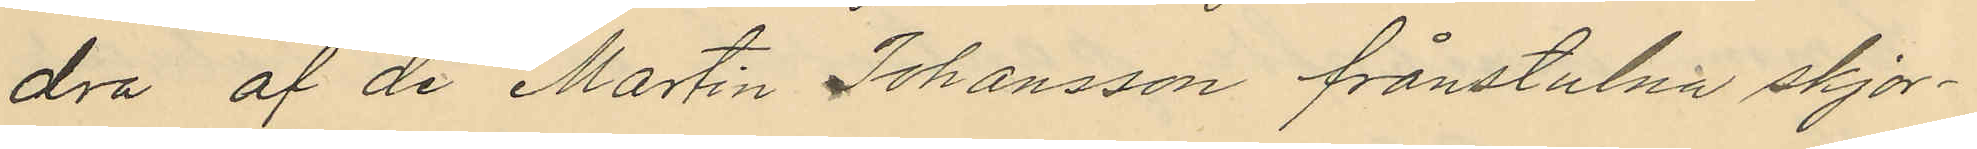dra af de Martin Johansson frånstulna skjor¬
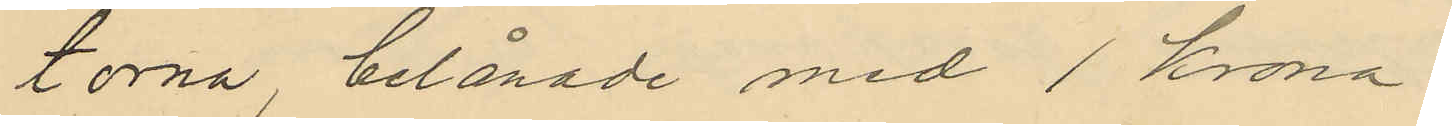torna, belånade med 1 krona.
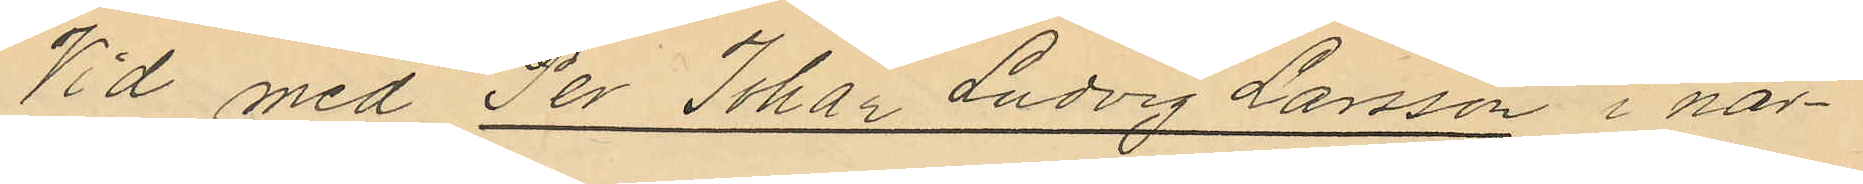Vid med Per Johan Ludvig Larsson i när¬
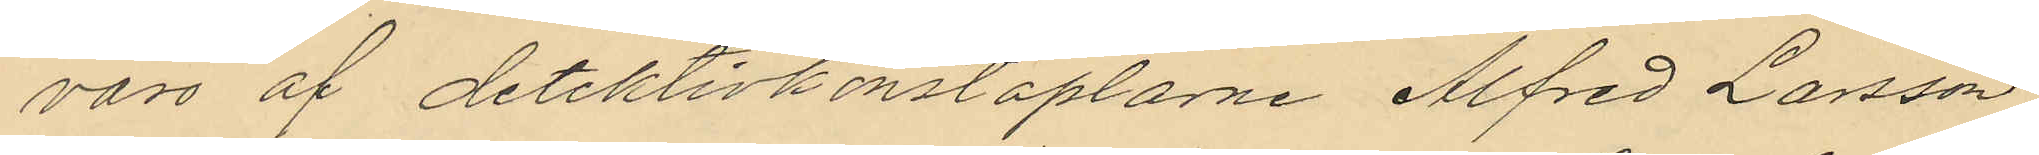varo af detektivkonstaplarne Alfred Larsson
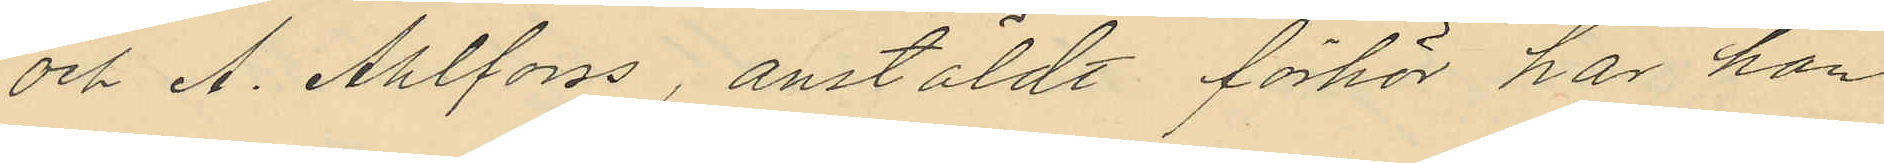och A. Ahlforss, anstäldt förhör har han
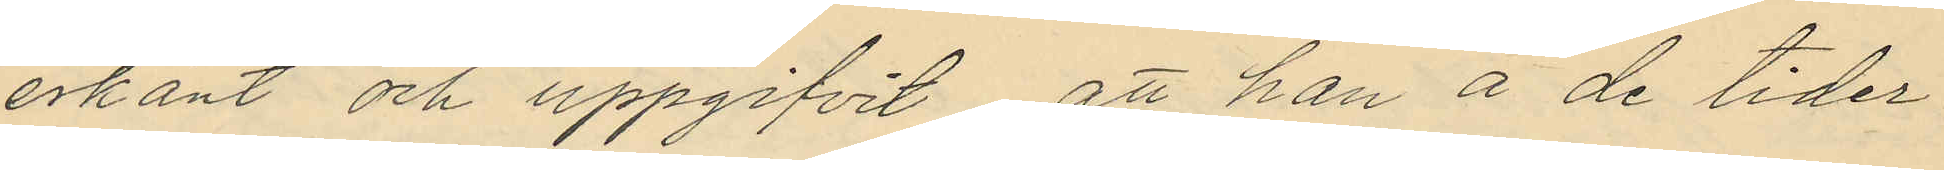erkänt och uppgifvit att han å de tider
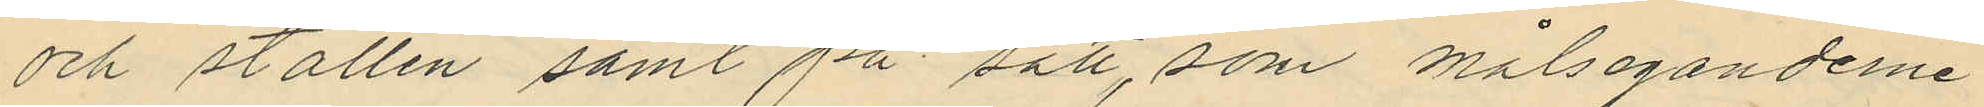och ställen samt på sätt, som målseganderne
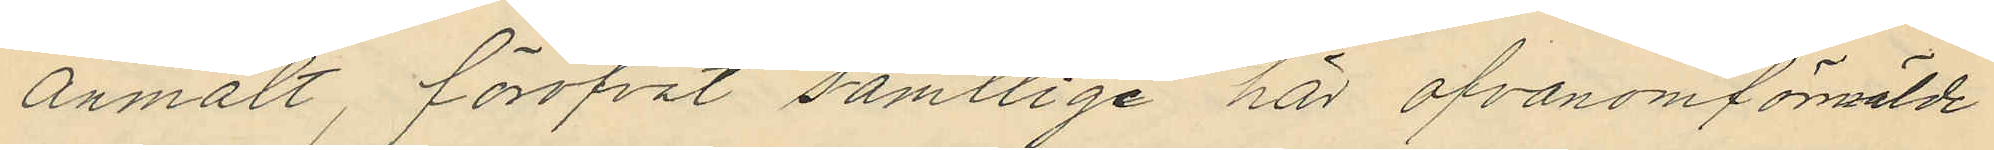anmält, föröfvat samtlige här ofvanomförmälde
